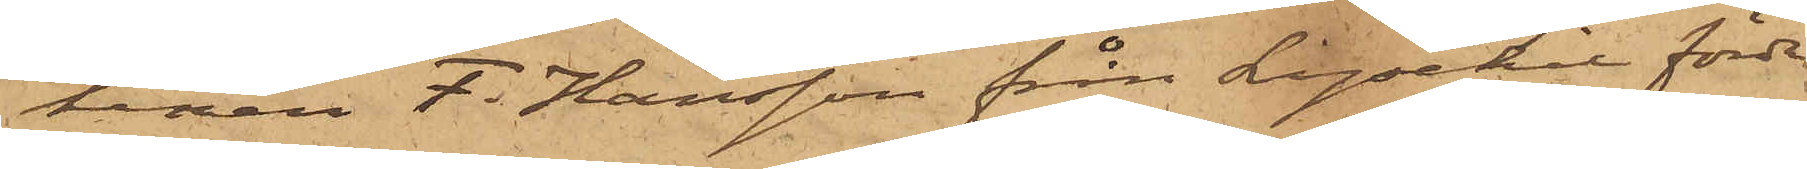tenen F. Hansson från Lysekil förde
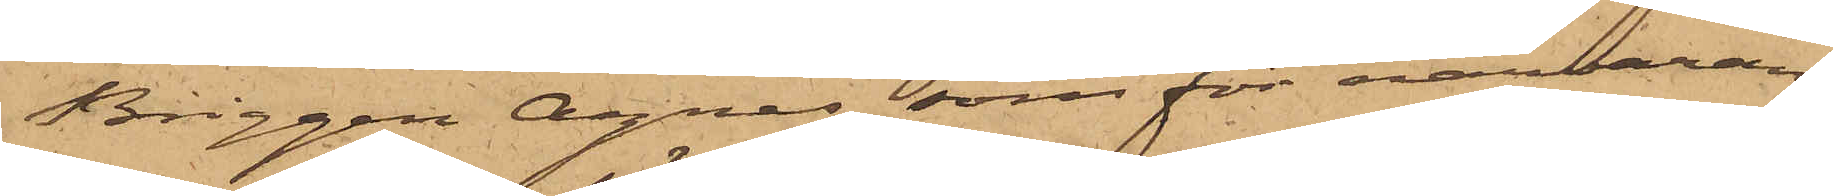Briggen Agnes, som för närvaran¬
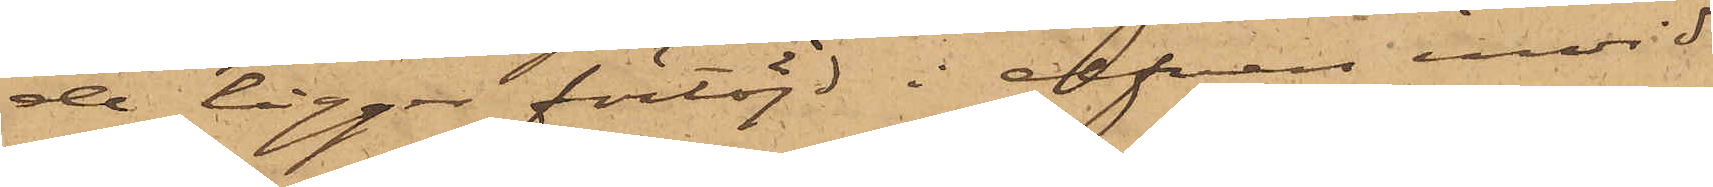de ligger förtöjd i elfven invid
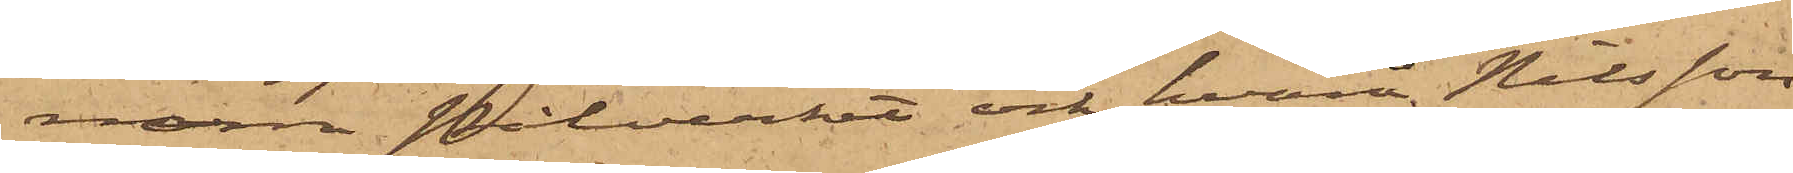norra Pålverket och hvarå Nilsson
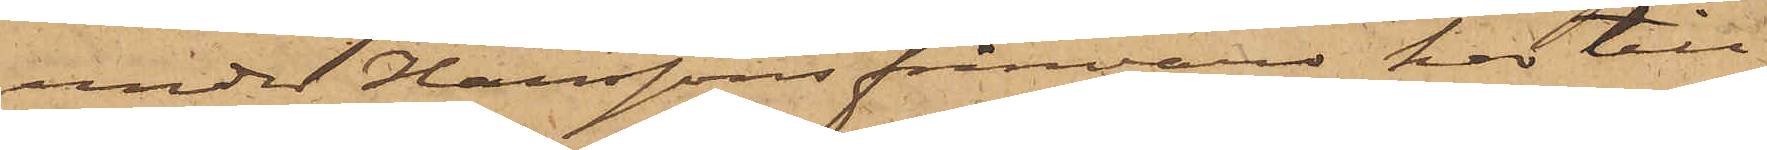under Hanssons frånvaro har till¬
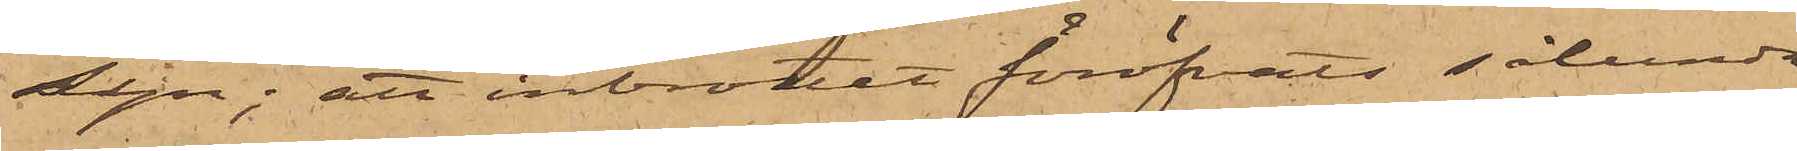syn; att inbrottet föröfvats sålunda
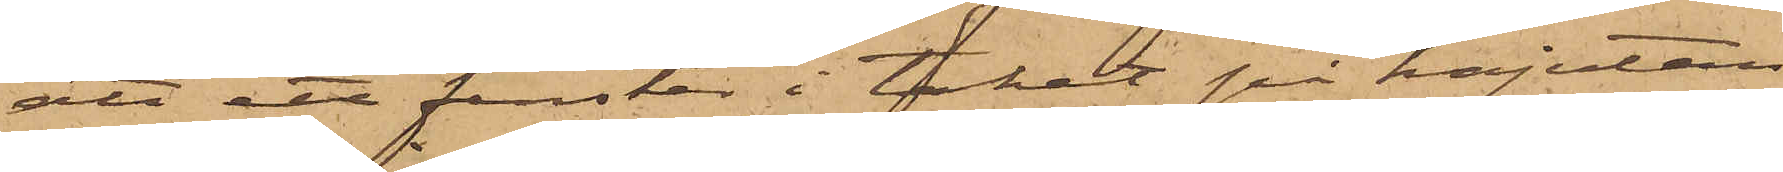att ett fenster i taket på kajutan
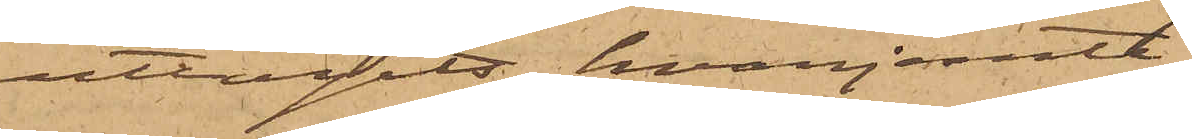uttagits, hvarjemte
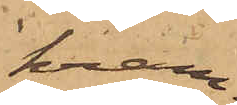kram¬
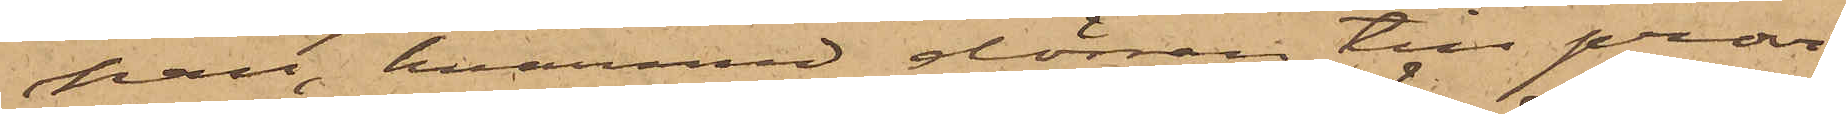pan, hvarmed dörren till provi¬
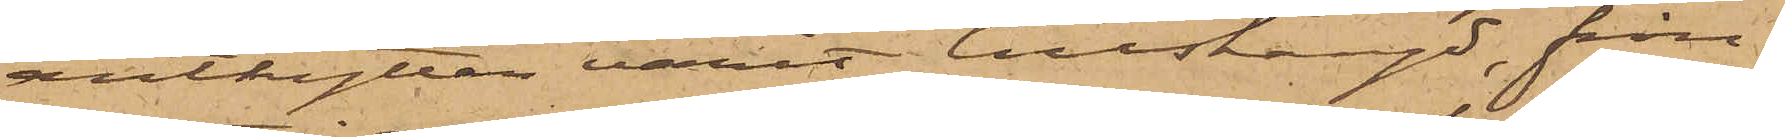anthytten varit tillstängd, från¬
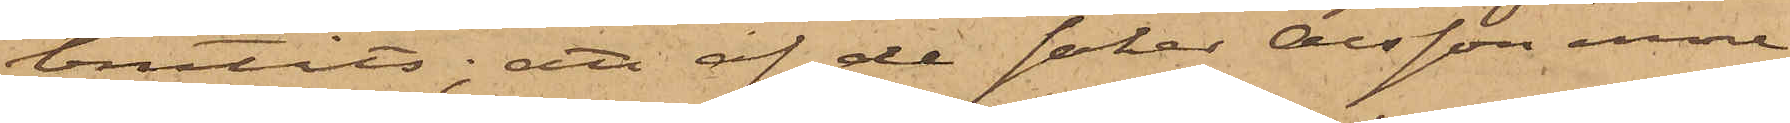brutits; att af de saker Olsson inne¬
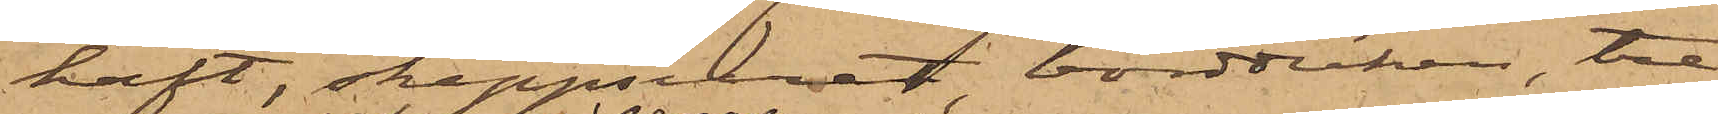haft, skeppsuret, bordduken, tre
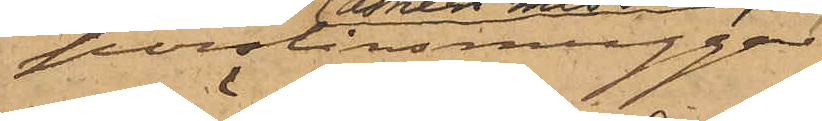porslinsmuggar
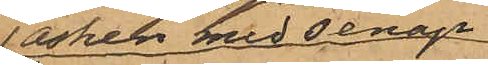asken med senap
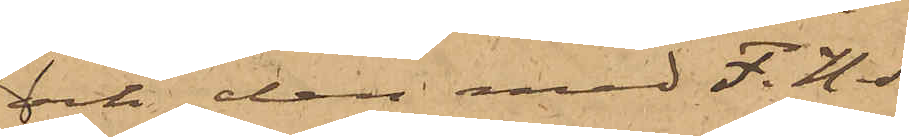och den med F. H. S.
